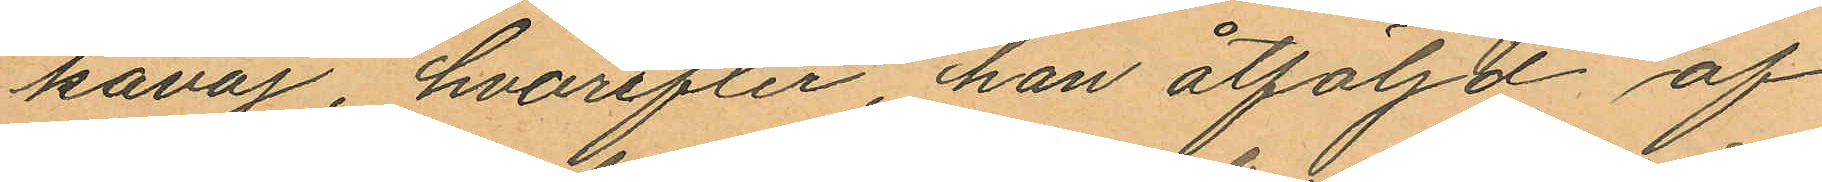kavaj, hvarefter, han åtföljd af
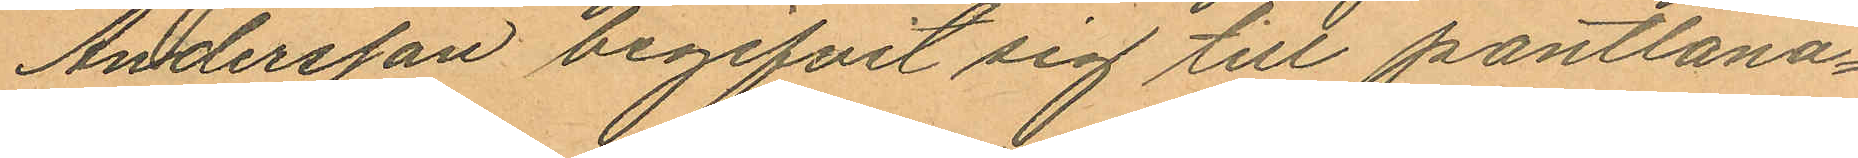Andersson begifvit sig till pantlåna¬
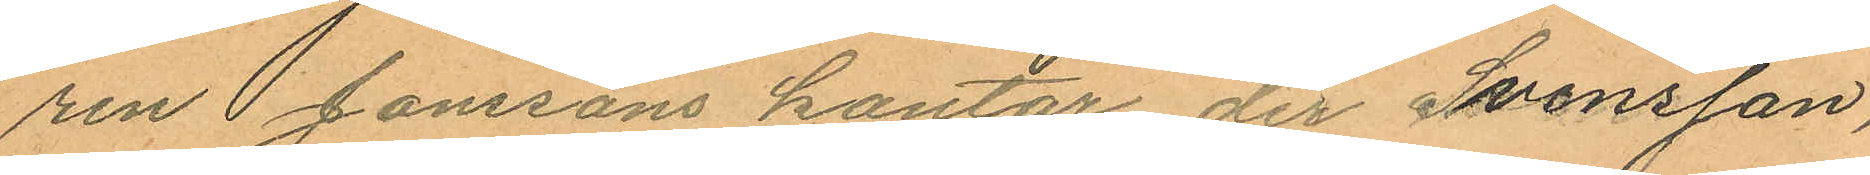ren Jonssons kontor der Svensson,
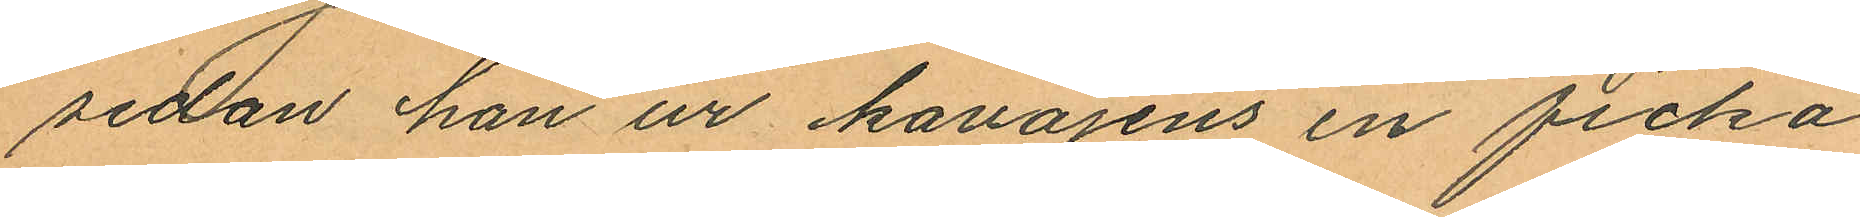sedan han ur kavajens en ficka
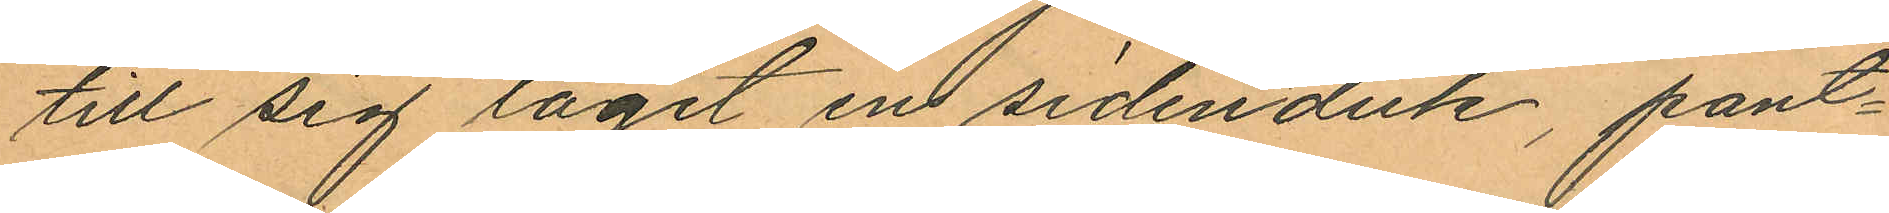till sig tagit en sidenduk, pant¬
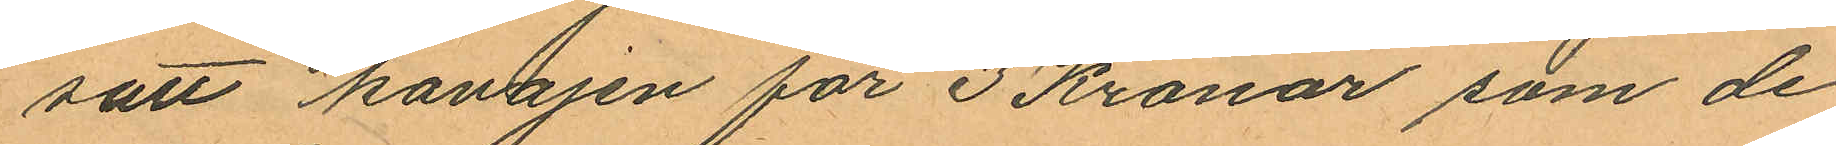satt kavajen för 3 Kronor som de
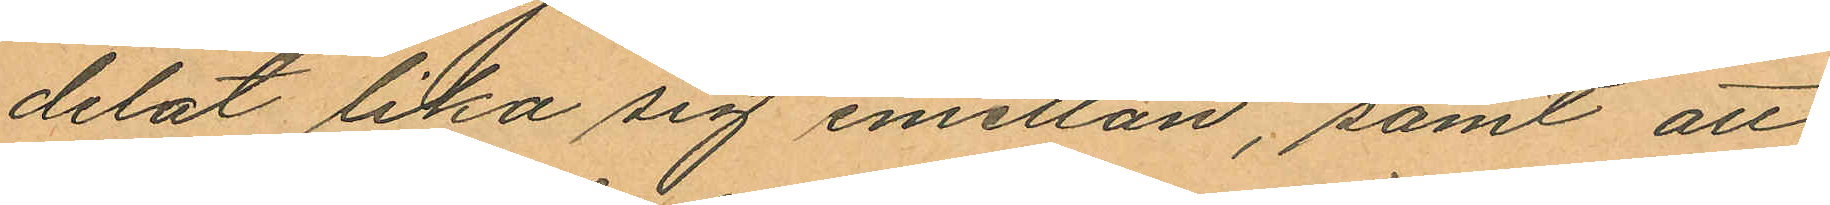delat lika sig emellan, samt att
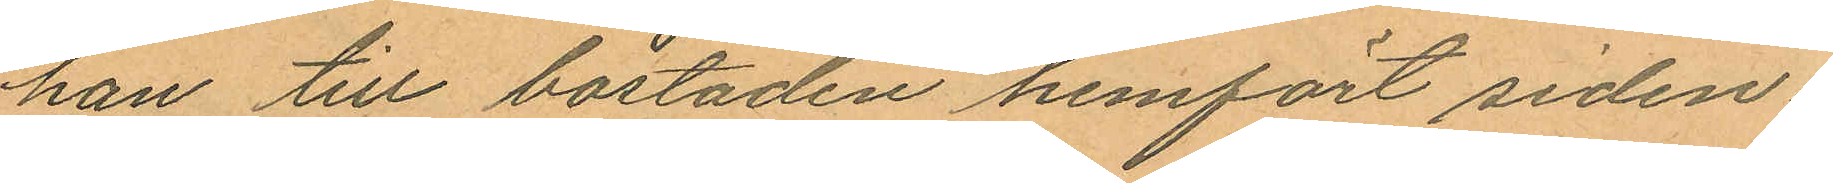han till bostaden hemfört siden¬
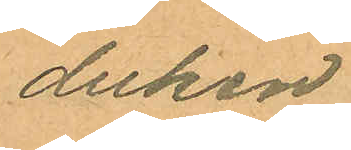duken.
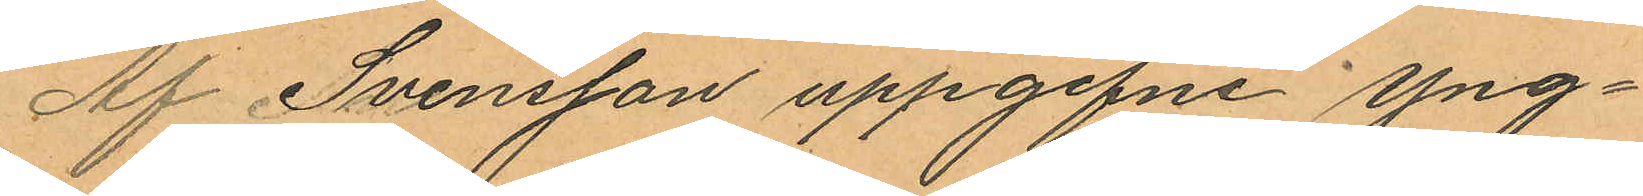Af Svensson uppgifne Yng¬
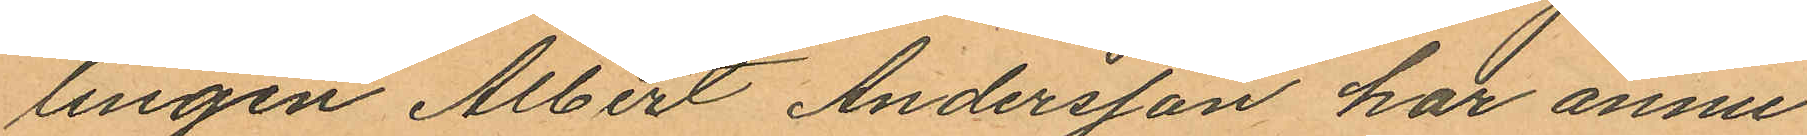lingen Albert Andersson har ännu
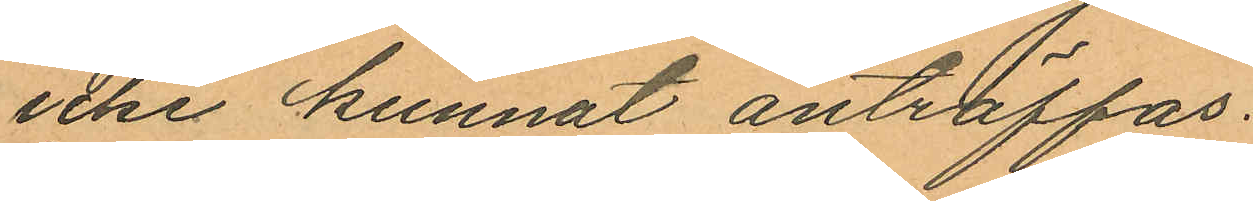icke kunnat anträffas.
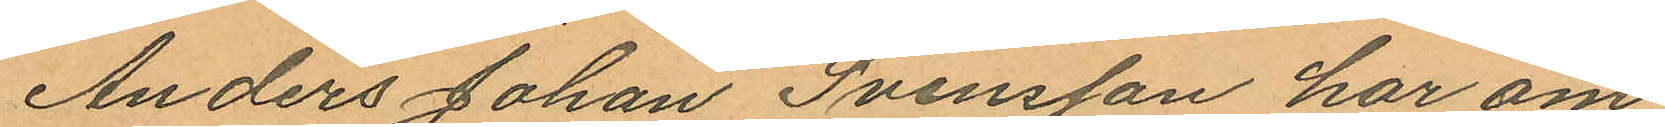Anders Johan Svensson har om
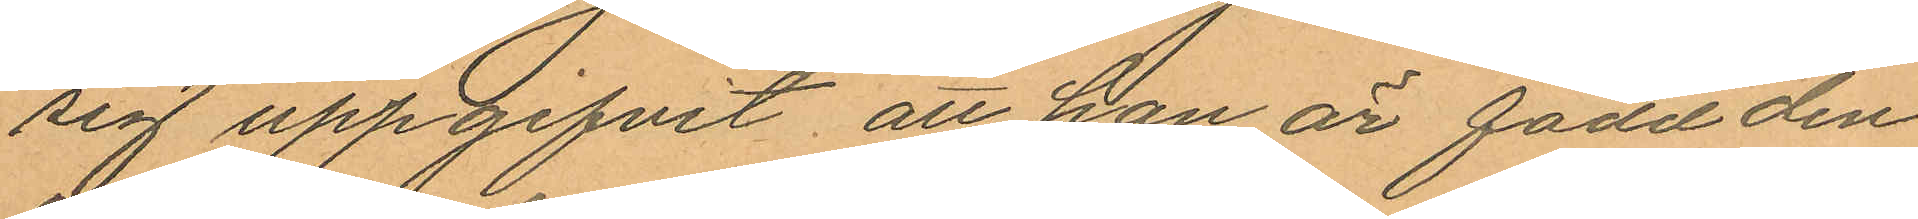sig uppgifvit att han är född den
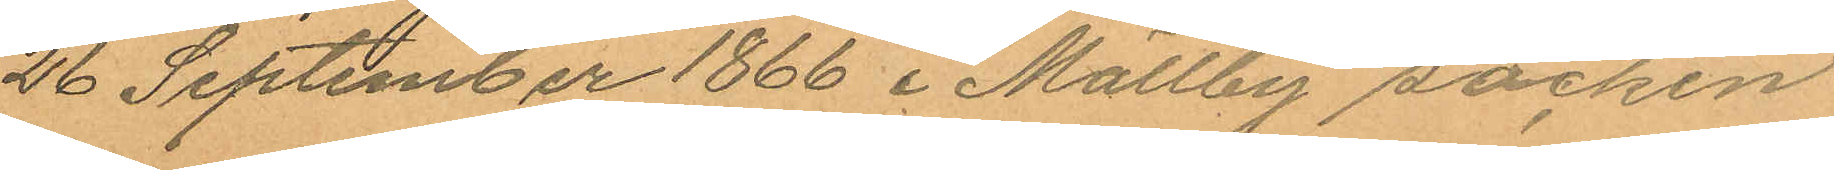26 September 1866 i Mällby socken
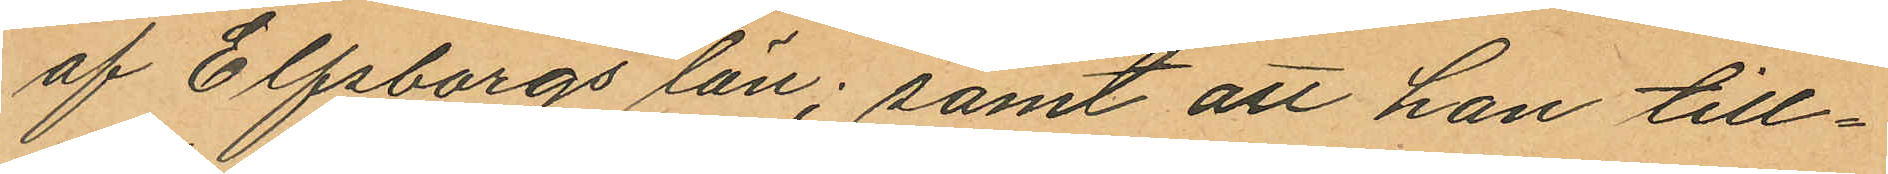af Elfsborgs län; samt att han till¬
